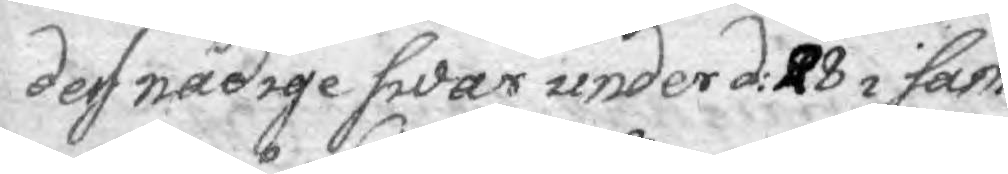dess nådige swar under d: 28 i sam¬
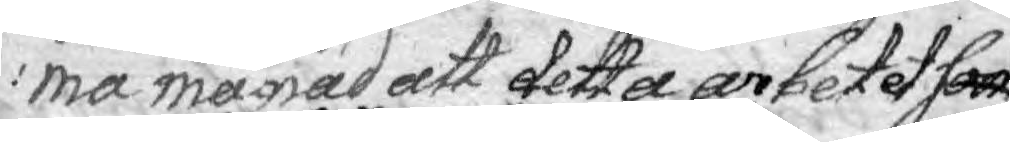ma månad att detta arbetet som
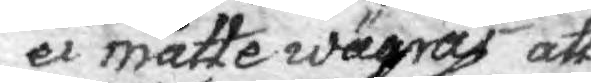ei måtte wägras att
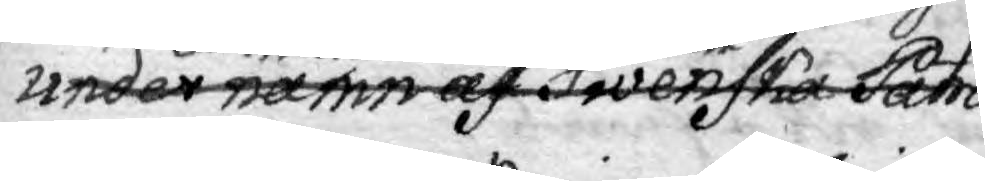under namn af Swenska Patrio¬
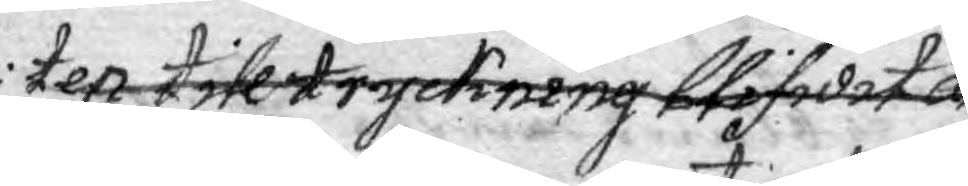ten till tryckning blifwit an
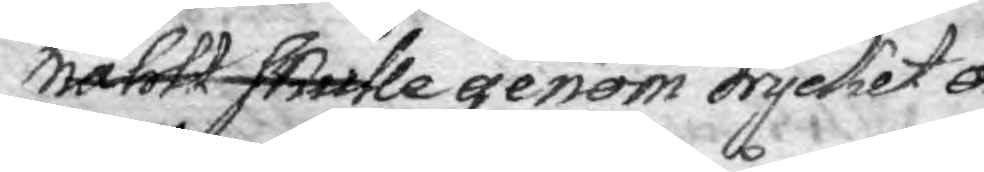mählt skulle genom trycket o¬
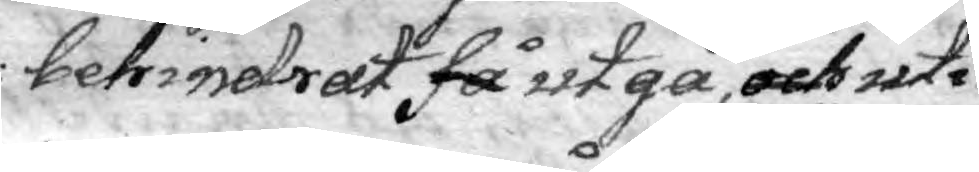behindrat få utgå, och uti
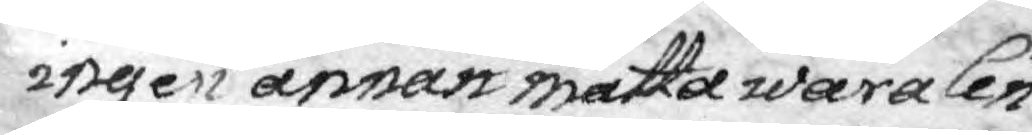ingen annan måtta wara Cen¬
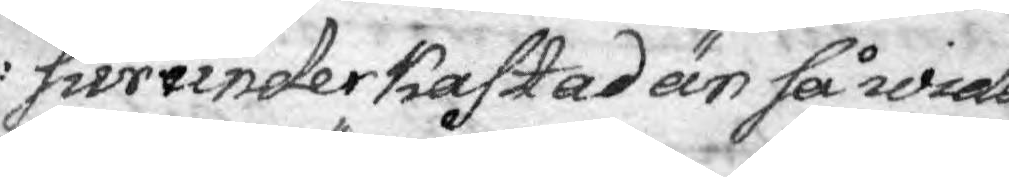sur underkastad än så wida
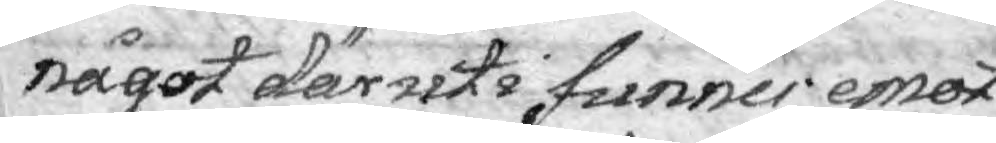något däruti funnes emot
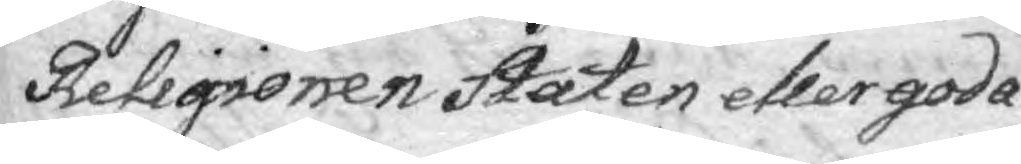Religionen Staten eller goda
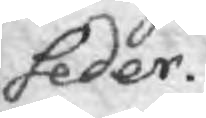seder.
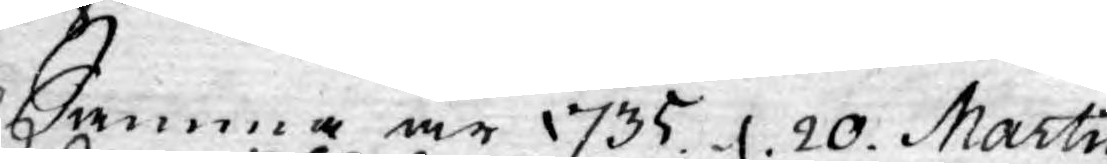Samma år 1735. d. 20. Martii
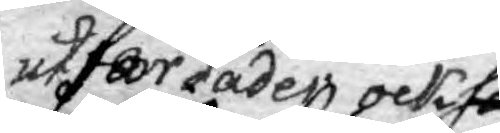utfärdades också
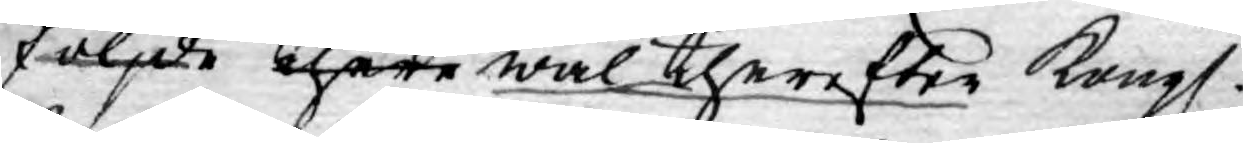följde there wäl therefter Kongl.
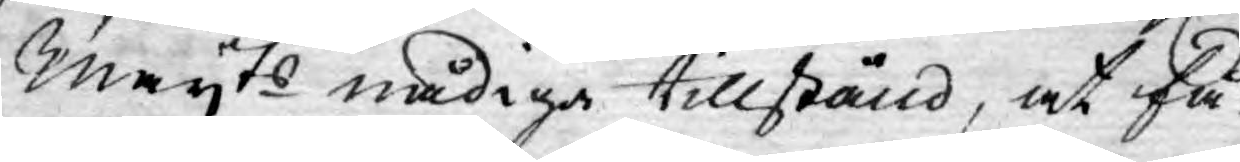Mayts nådiga tillstånd, at få
